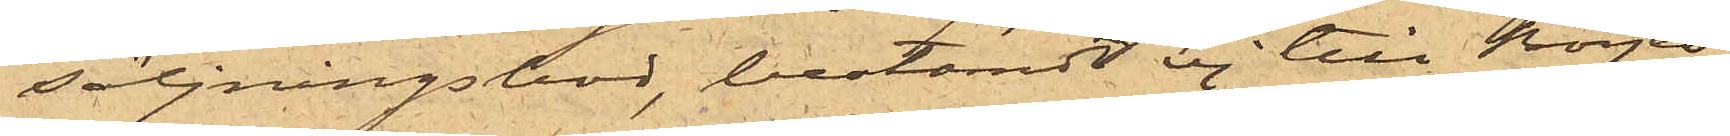säljningsbod, bestämdt ej till Börjes¬
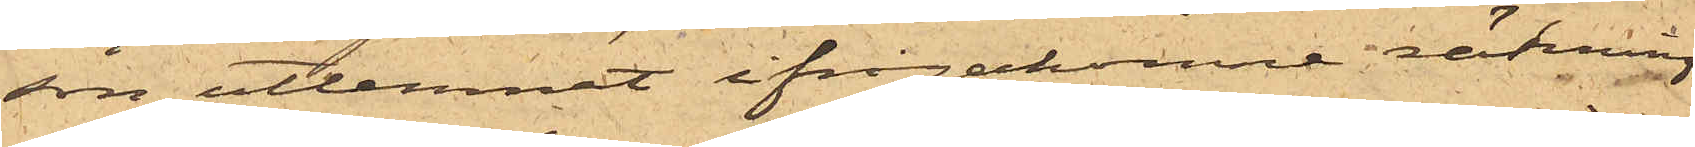son utlemnat ifrågakomne räkning
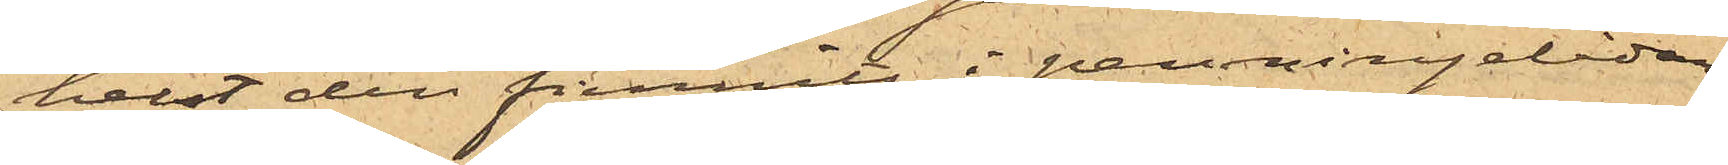helst den funnits i penningelådan,
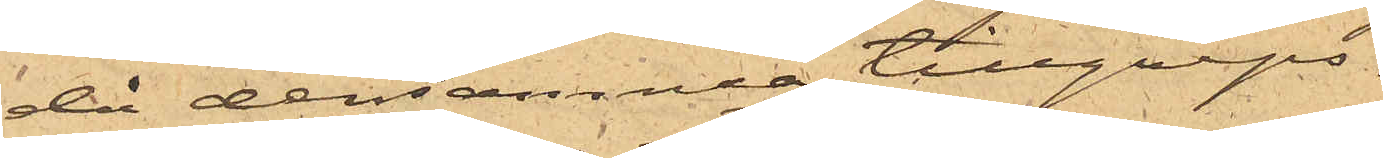då densamma tillgreps.
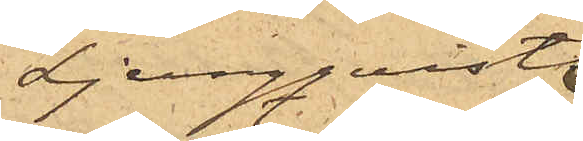Ljungqvists
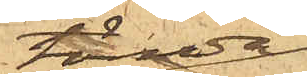tömda
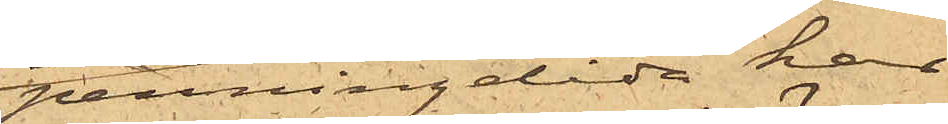penningelåda har
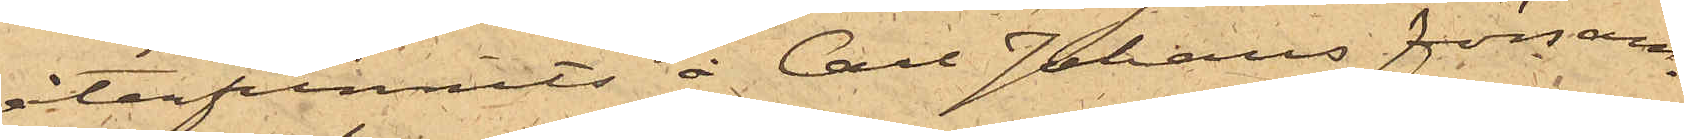återfunnits å Carl Johans försam¬
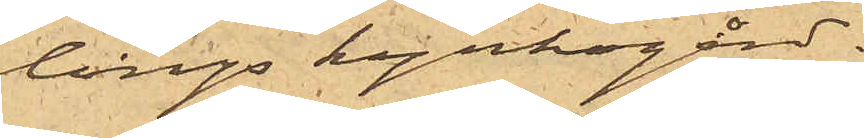lings kyrkogård.
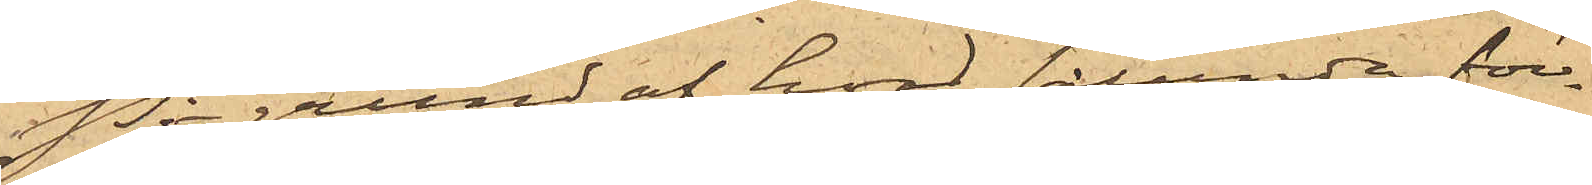På grund af hvad sålunda före¬
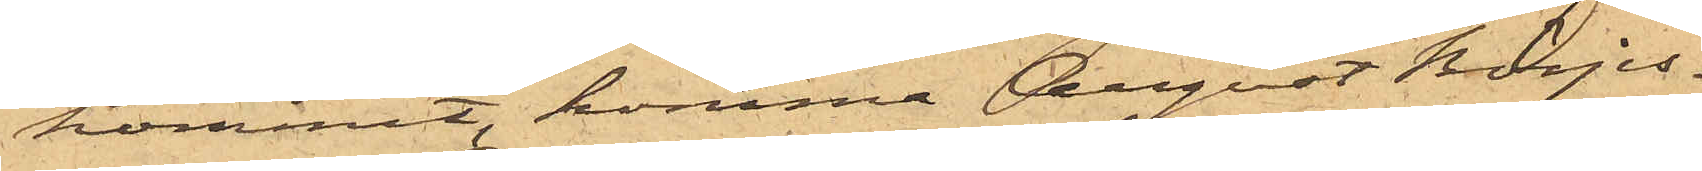kommit, komma August Börjes¬
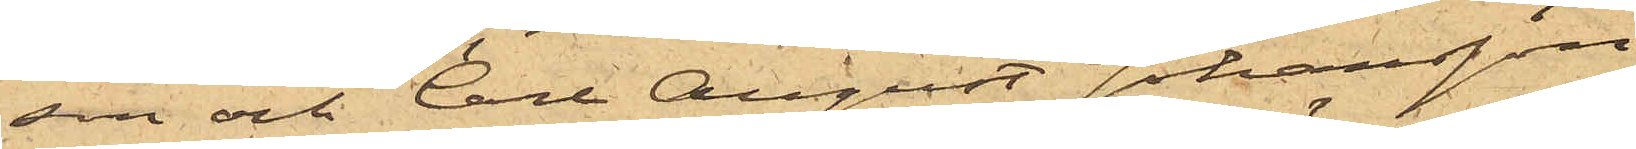son och Carl August Johansson,
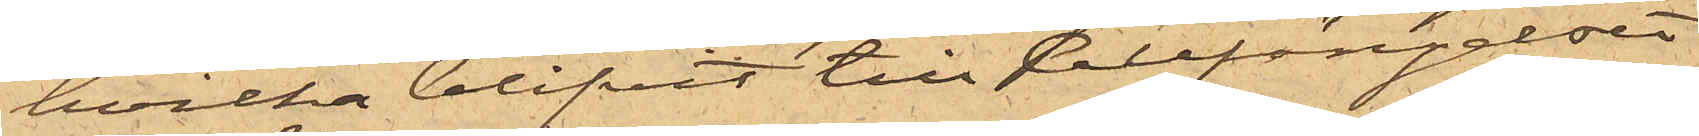hvilka blifvit till Cellfängelset
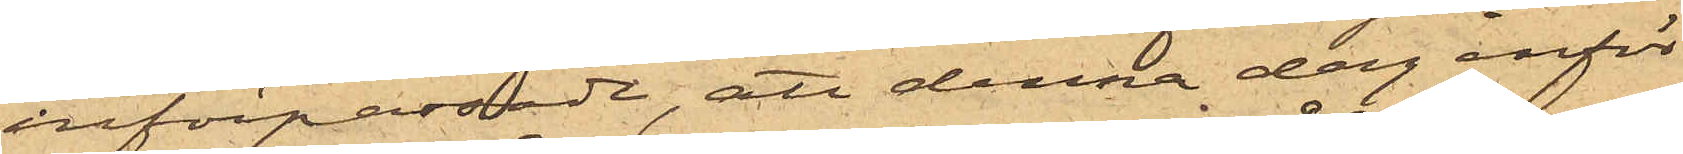införpassade, att denna dag inför
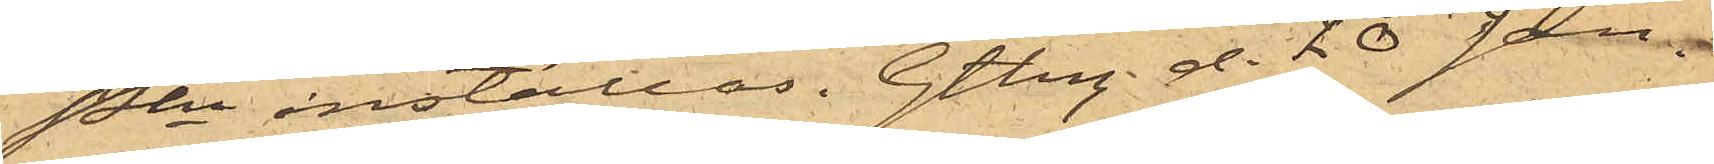Pkn inställas. Gtbg d. 20 Jan.
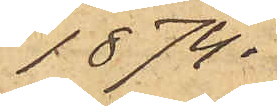1874.
